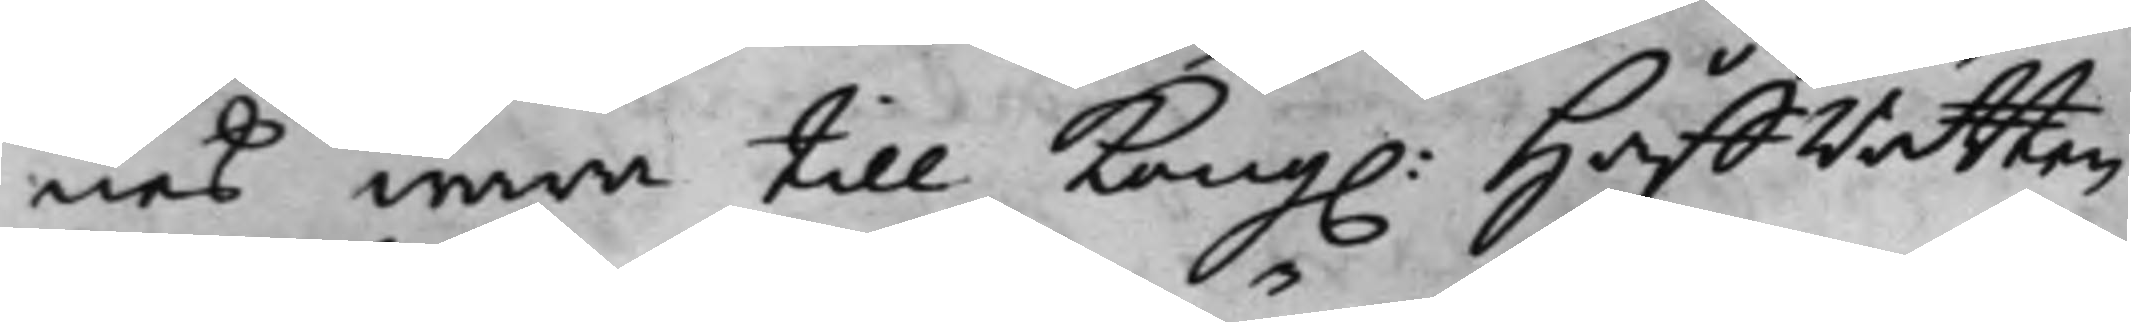nes wara till Kong. HåffRätten
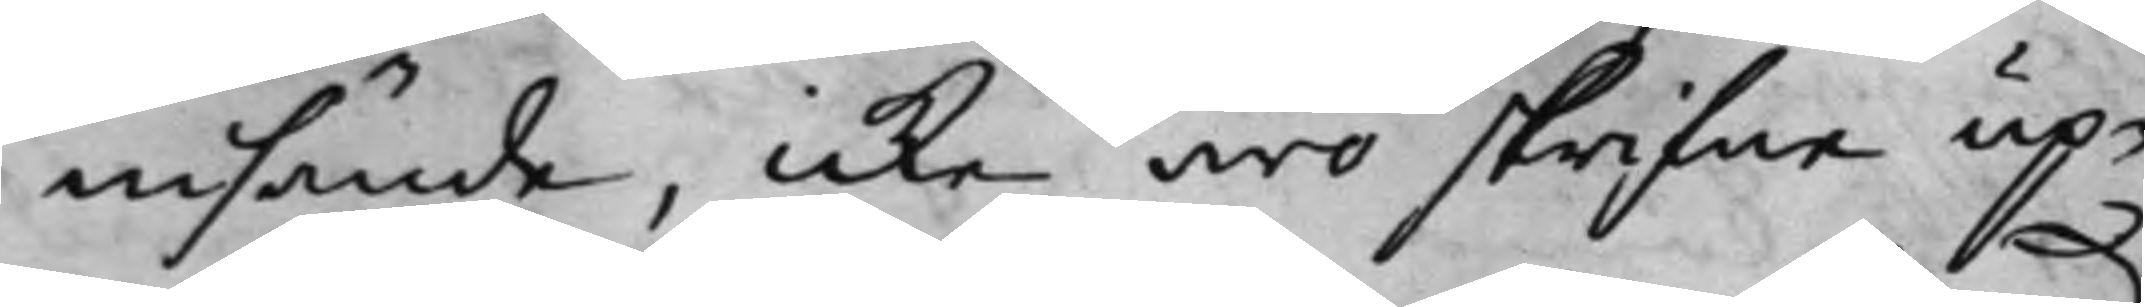insända, icke äro skrifne up¬
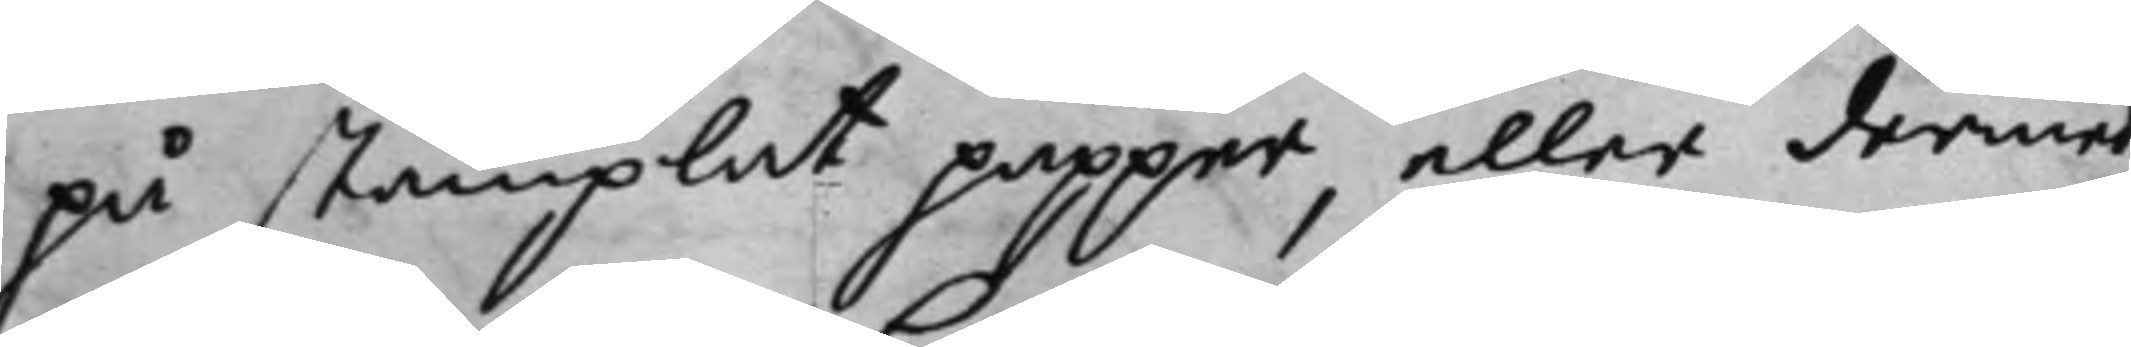på stämplat papper, eller dermed
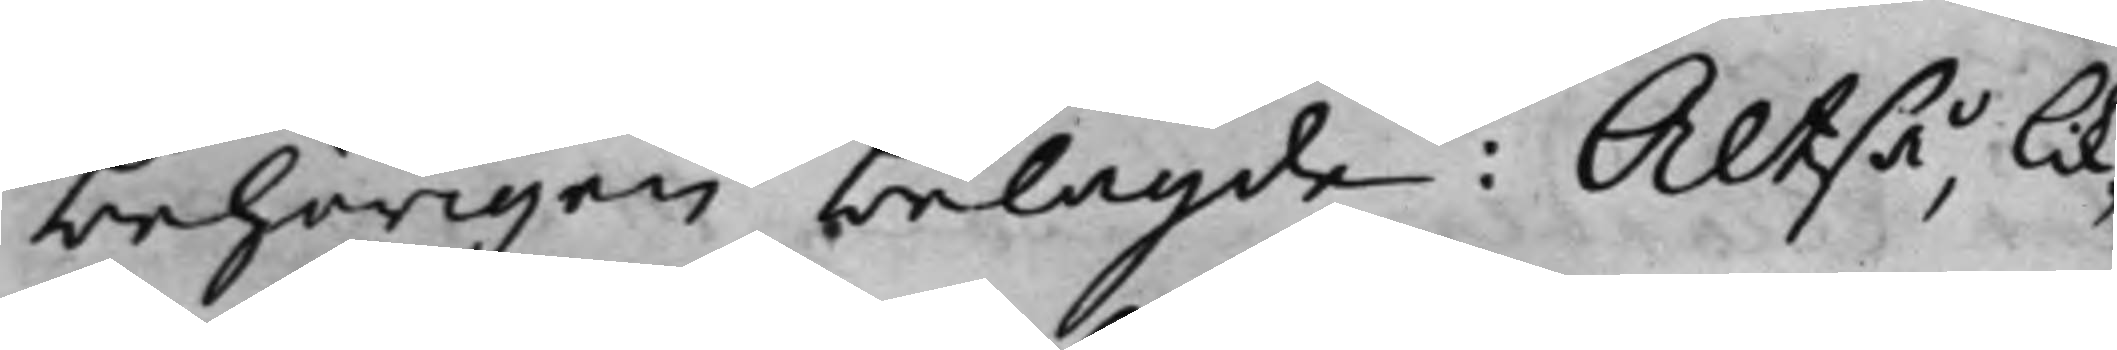behörigen belagde: Altså, lik¬
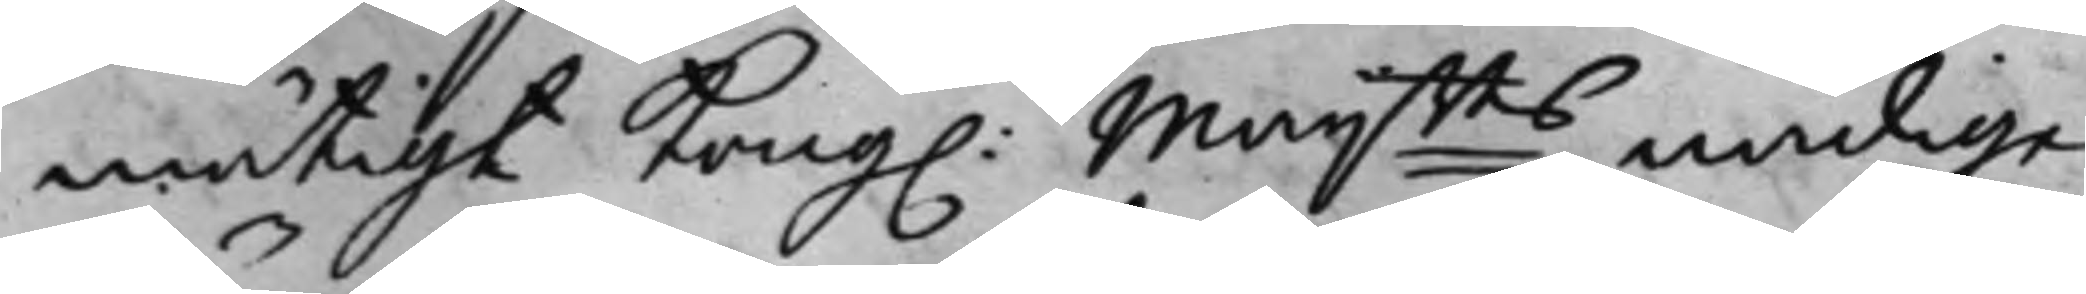mätigt Kong. Maijtts nådige
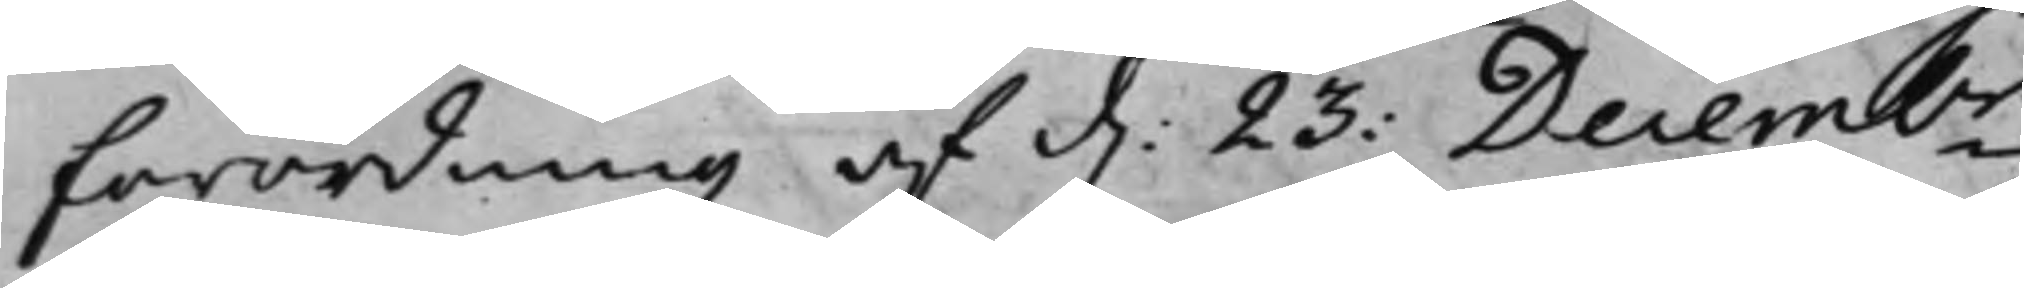förordning af d: 23 Decembr
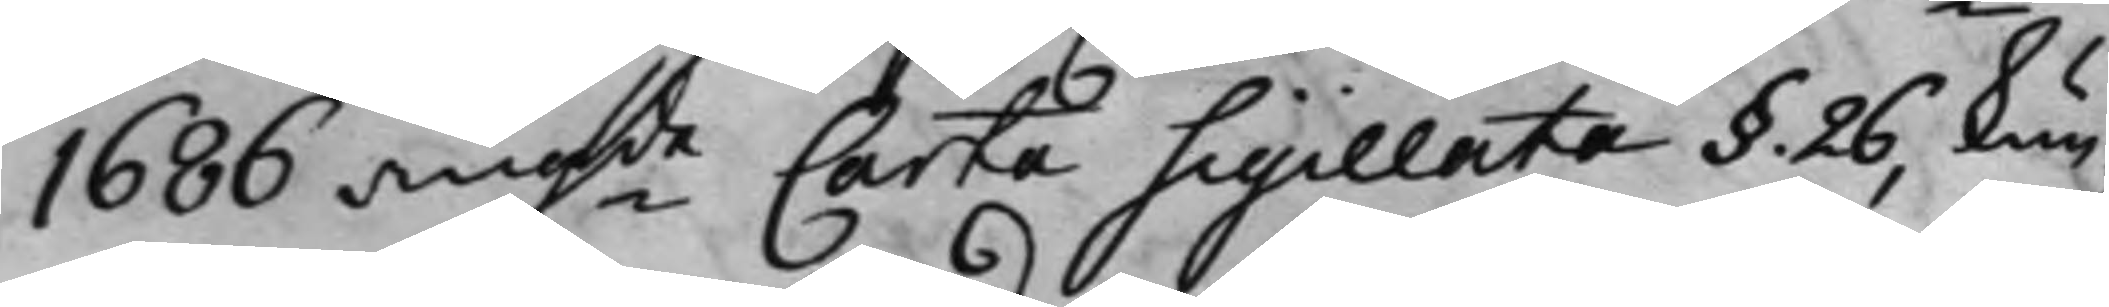1686 angde Carta Sigillata §. 26, kun¬
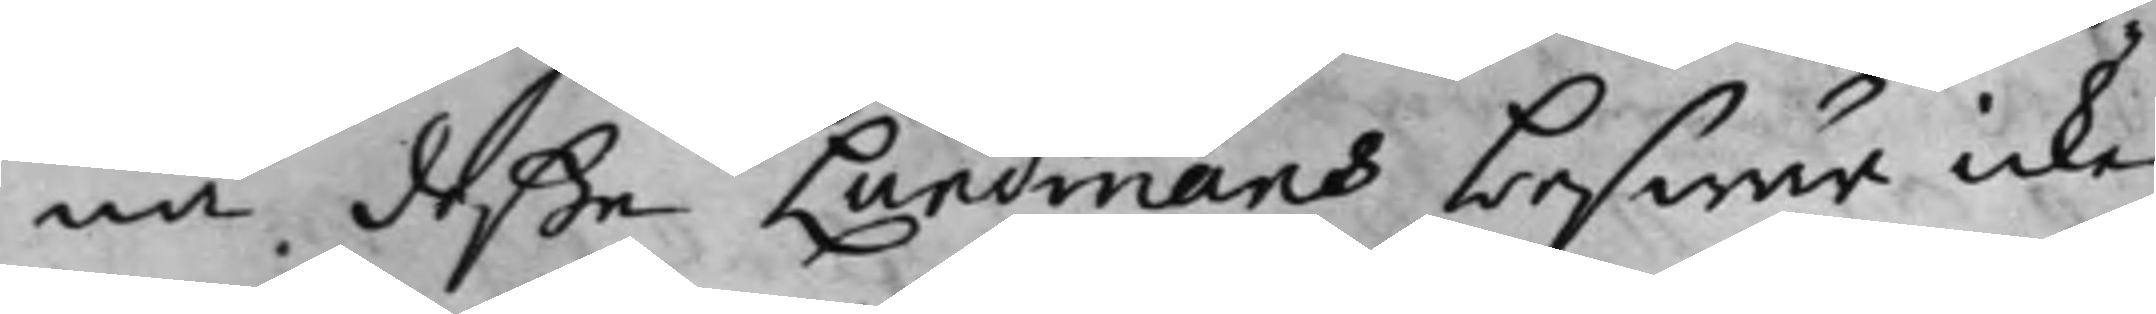na deße Lundmans beswär icke
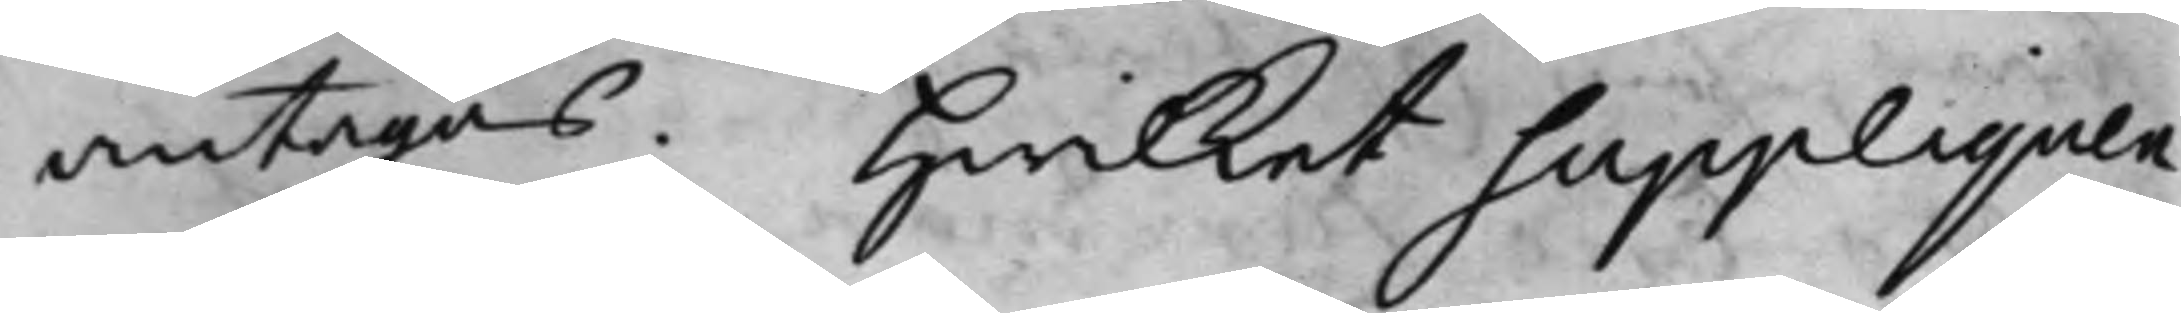antagas. Hwilket Suppliquen
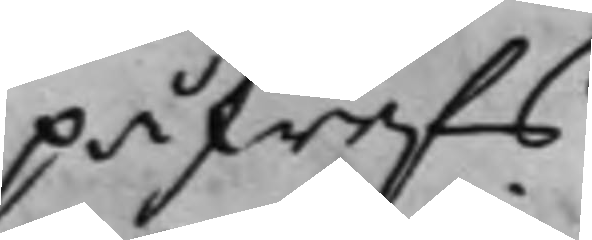påskrefs,
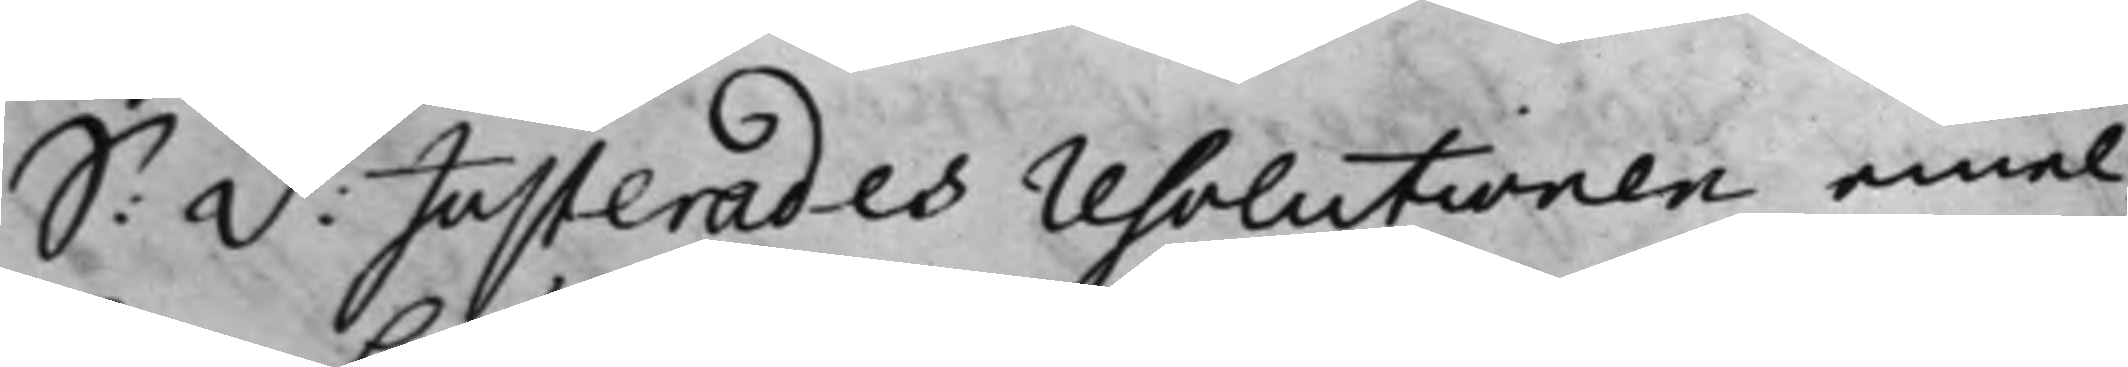S: D: Justerades resolutionen emel¬
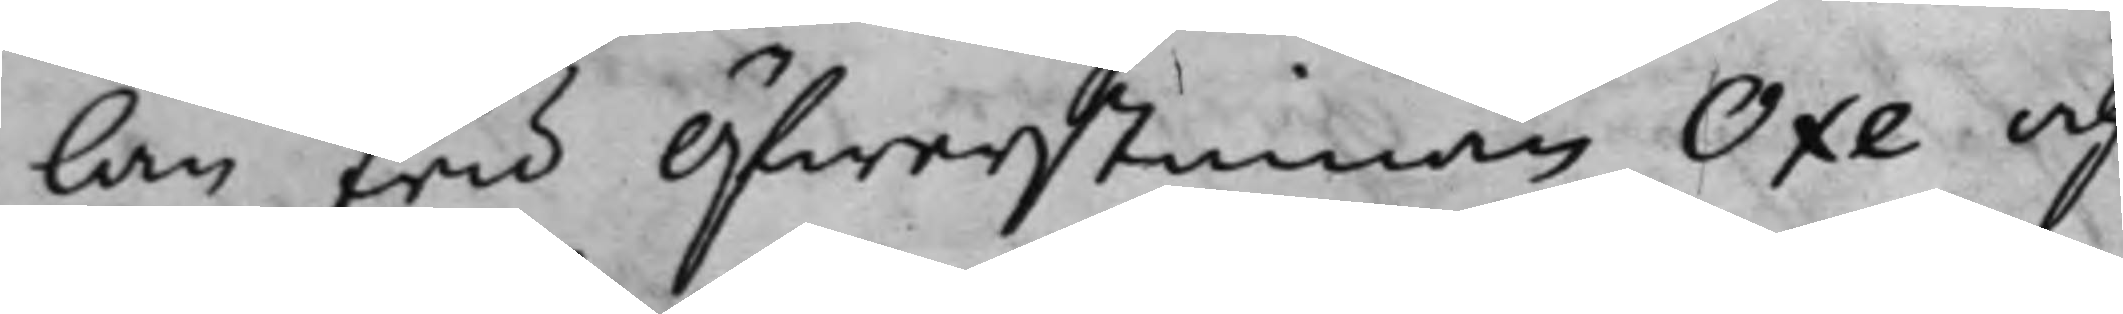lan fru Öfwerstinnan Oxe och
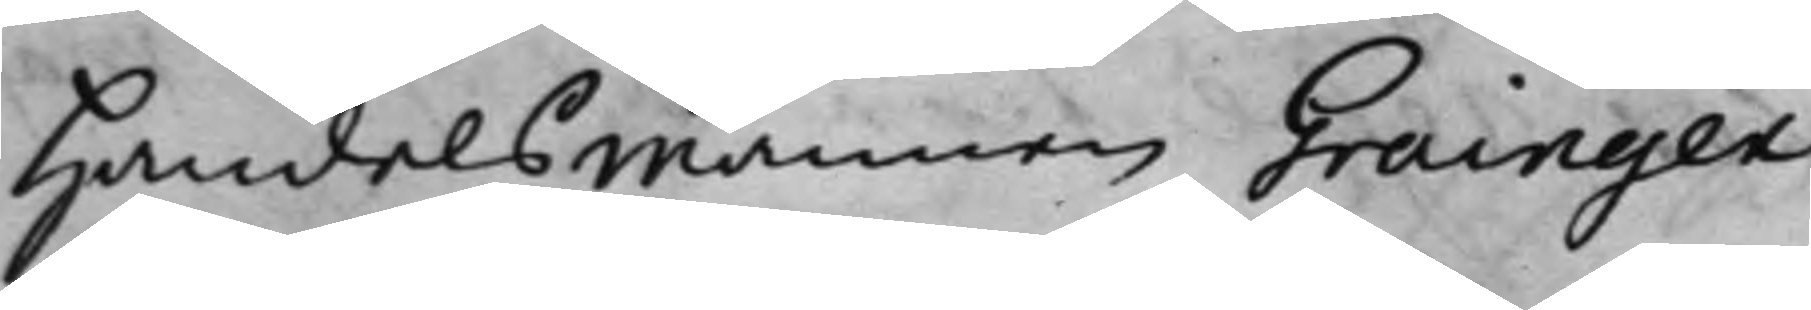Handelsmannen Grainger.
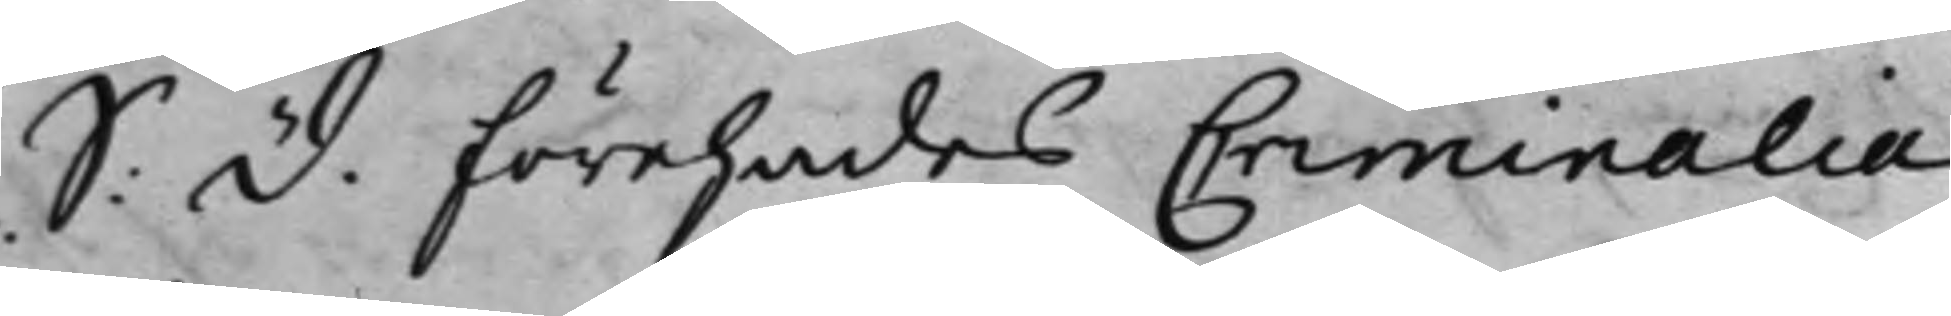S: D. Förehades Criminalia,
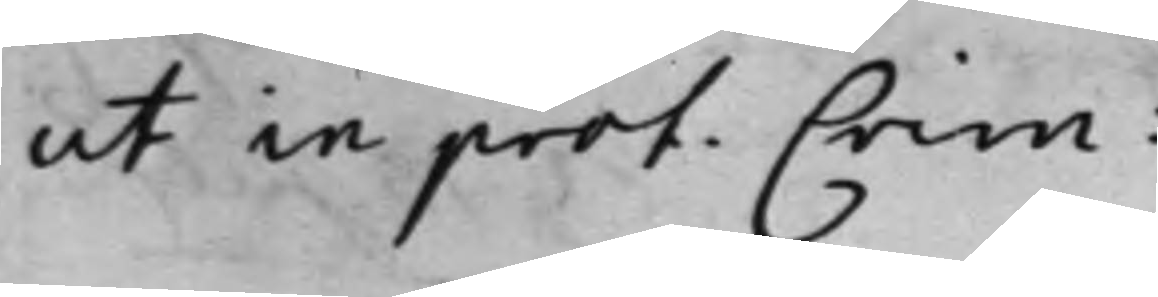ut in prot. Crim:
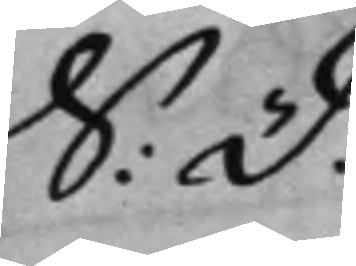S. d:
